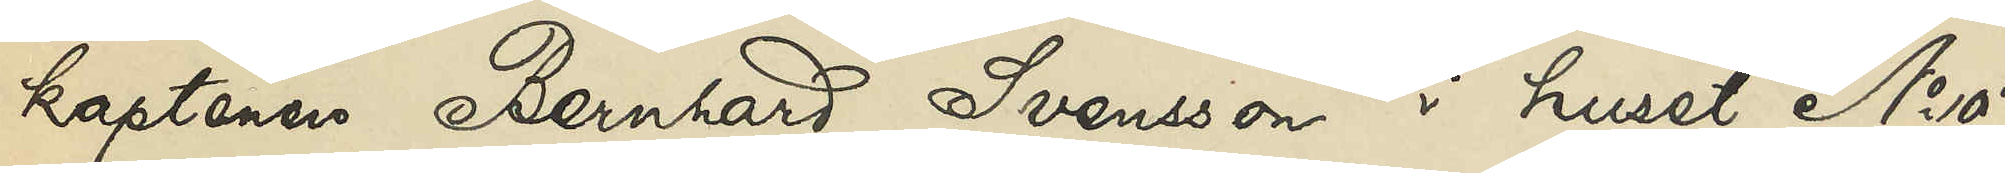kaptenen Bernhard Svensson i huset No 7
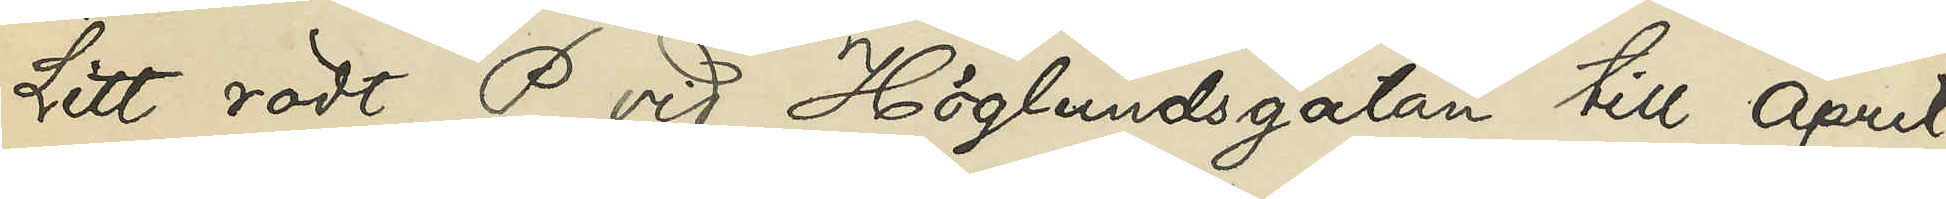Litt, rödt P vid Höglundsgatan till April
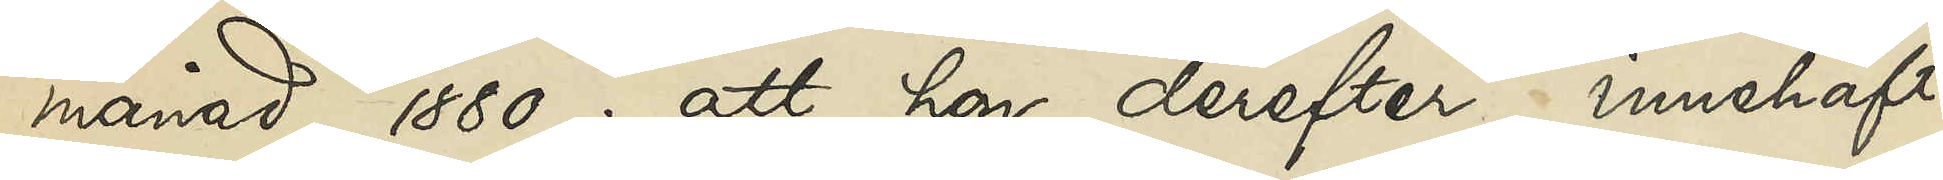månad 1880; att hon derefter innehaft
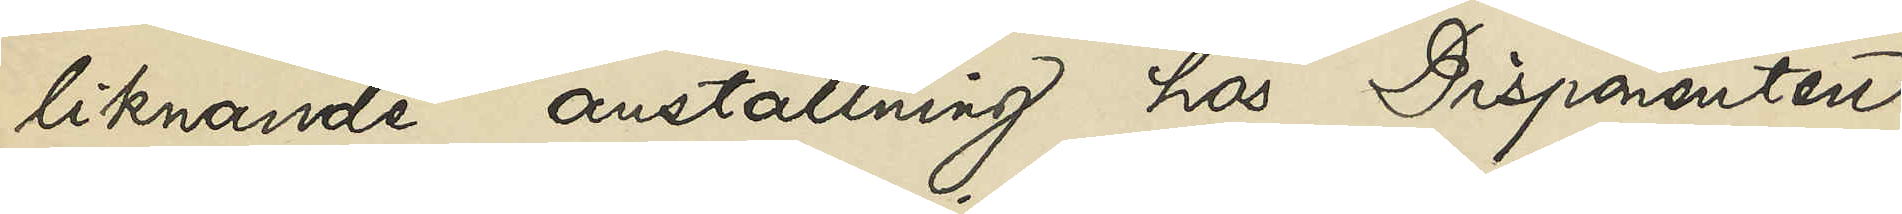liknande anställning hos Disponenten
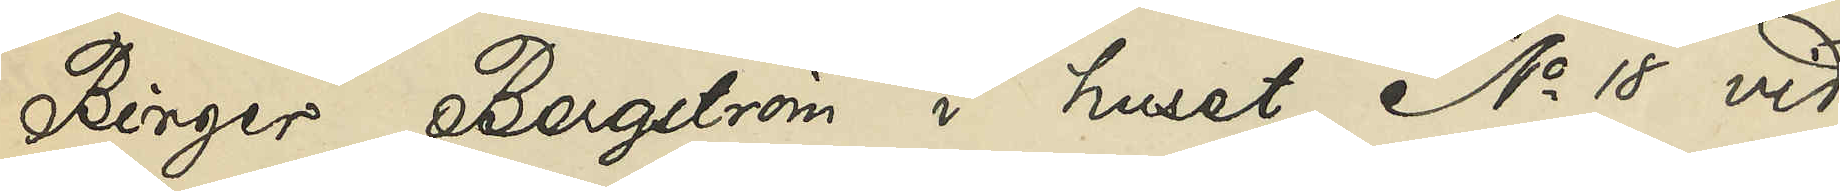Birger Bergström i huset No 18 vid
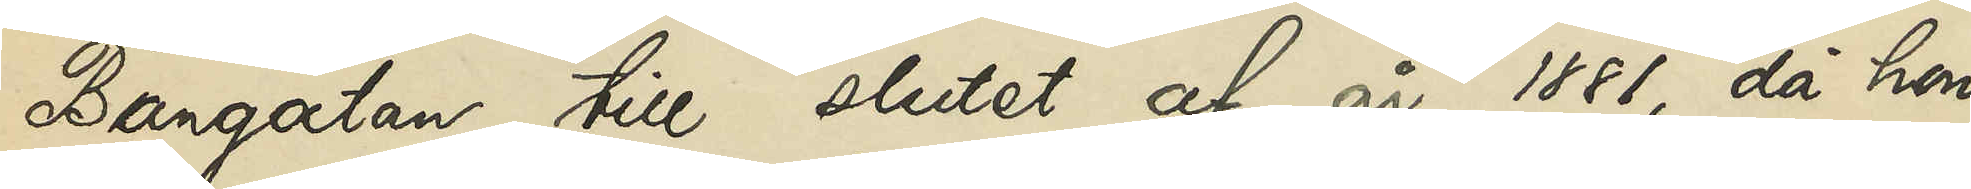Bangatan till slutet af år 1881, då hon
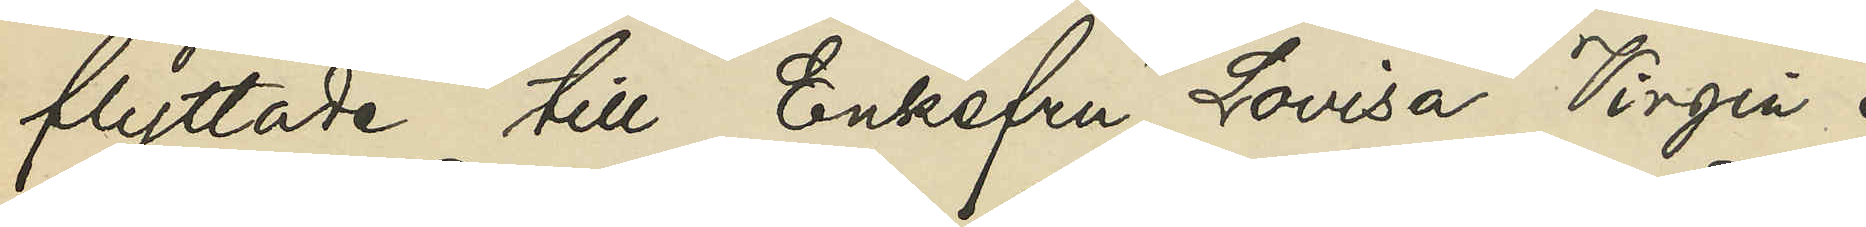flyttade till Enkefru Lovisa Virgin i
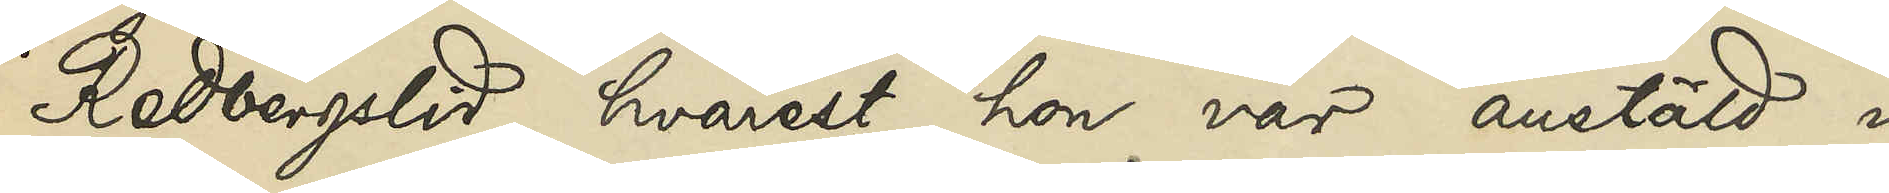Redbergslid, hvarest hon var anstäld i
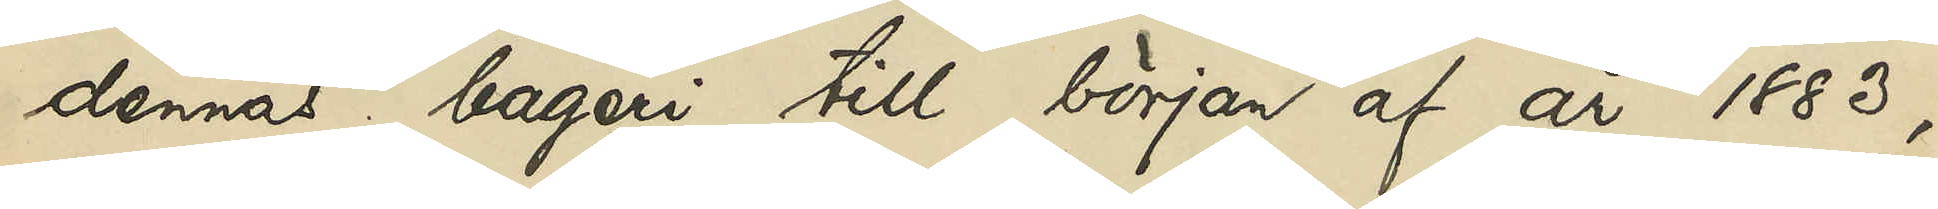dennas bageri till början af år 1883;
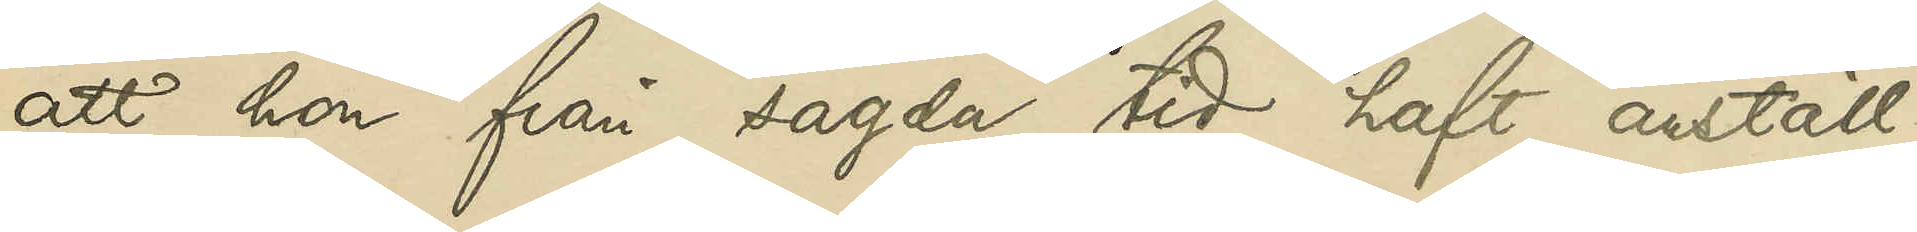att hon från sagda tid haft anställ¬
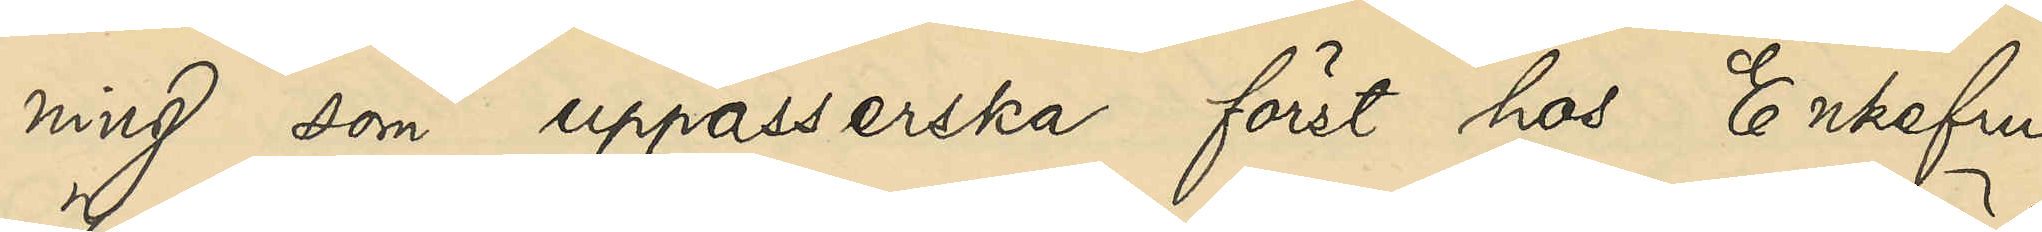ning som uppasserska först hos Enkefru
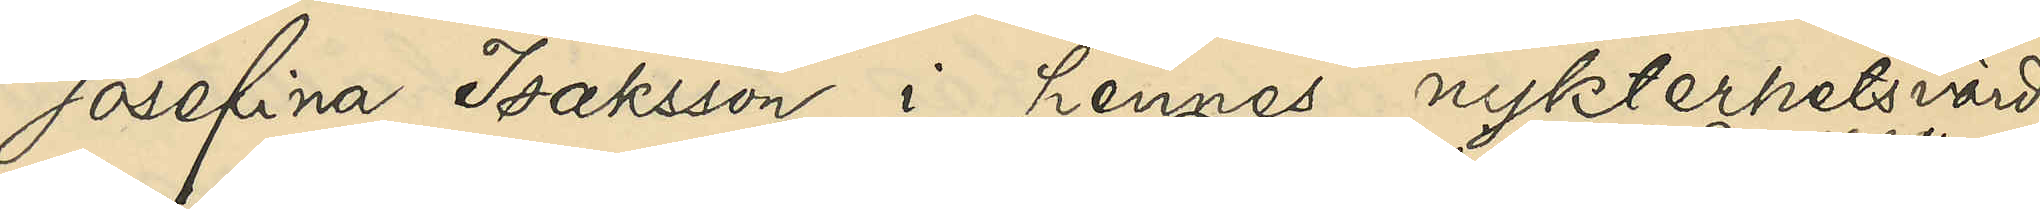Josefina Isaksson i hennes nykterhetsvärds¬
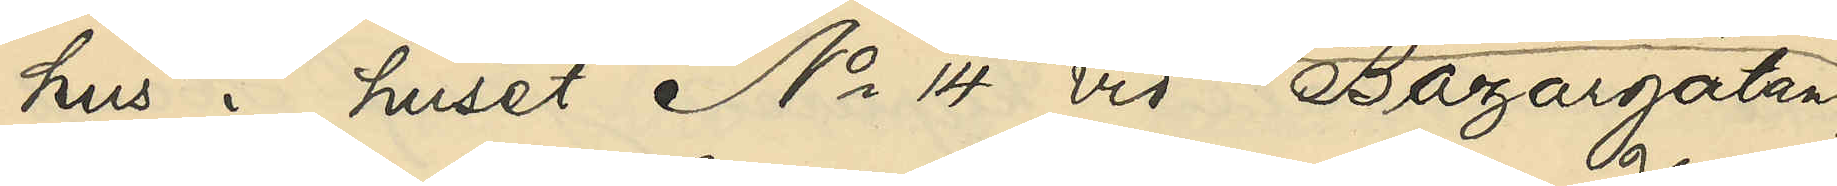hus i huset No 14 vid Bazargatan
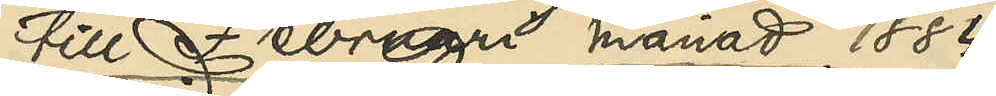till februari månad 1884
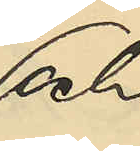och
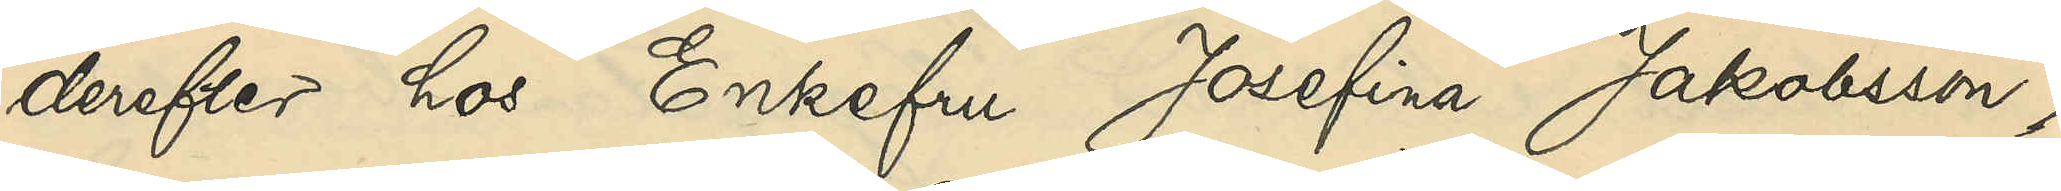derefter hos Enkefru Josefina Jakobsson i
